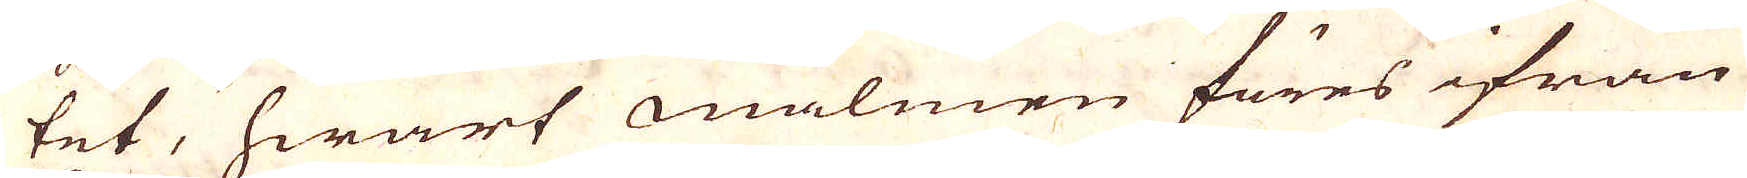tet, hwart malmen föres ifrån
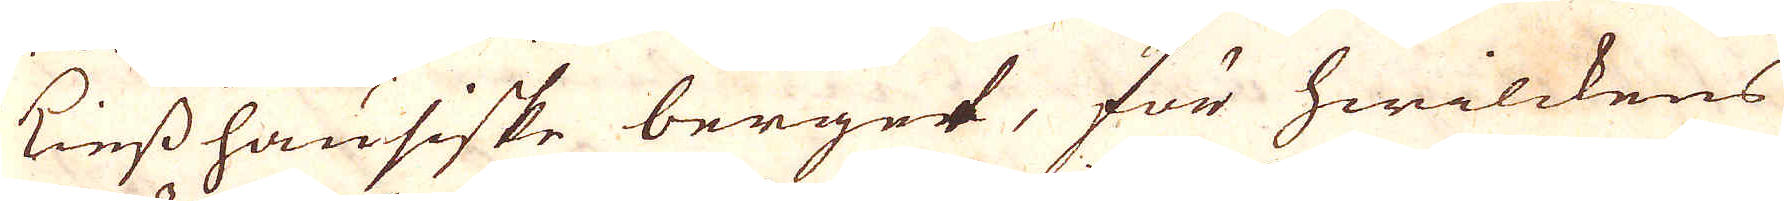Kinsshausiske berget, för hwilckens
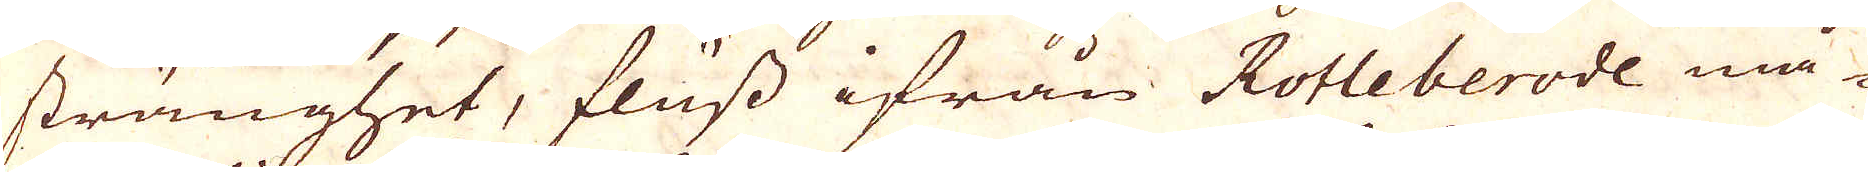stränghet, fluss ifrån Rotleberode må-
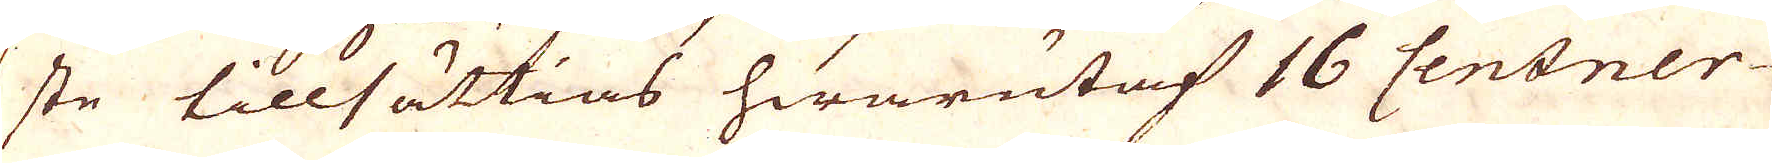ste tillsättias hwarutaf 16 Centner
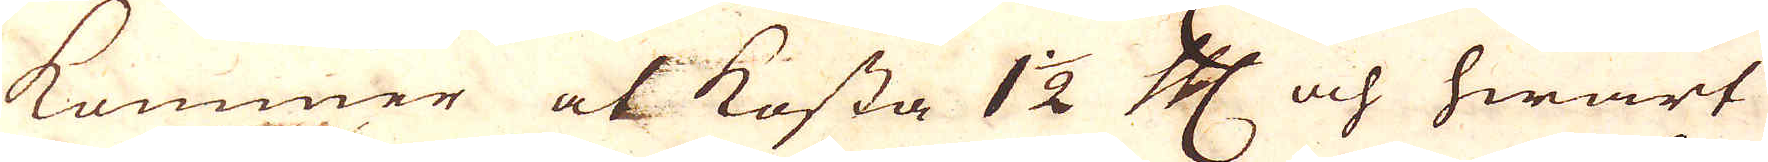kommer at kosta 1 1/2 Cologne Mark och hwart
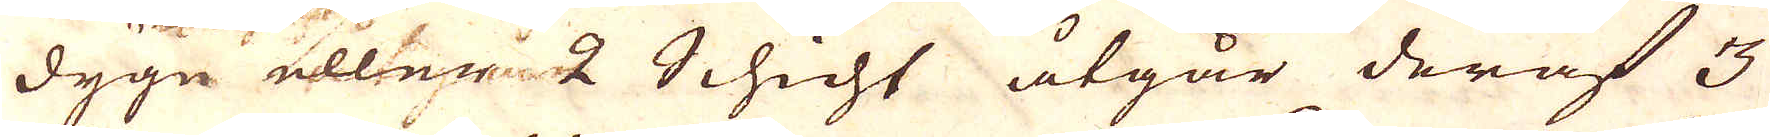dygn eller 2 Schicht åtgår deraf 3
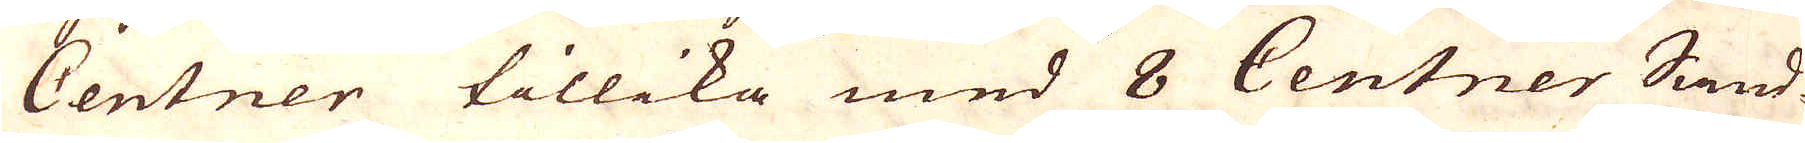Centner tillika med 8 Centner Sand-
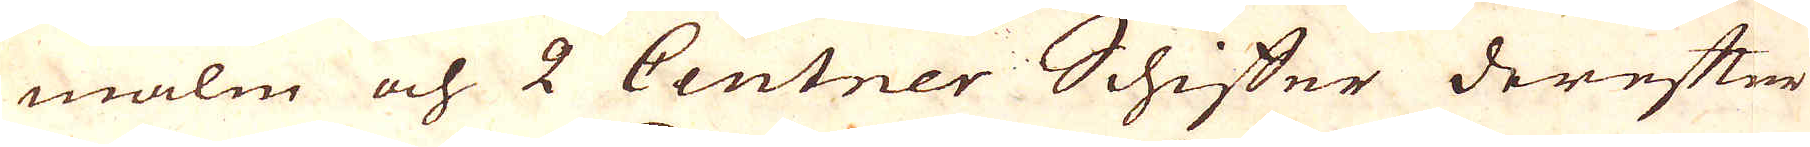malm och 2 Centner Schiffer derefter
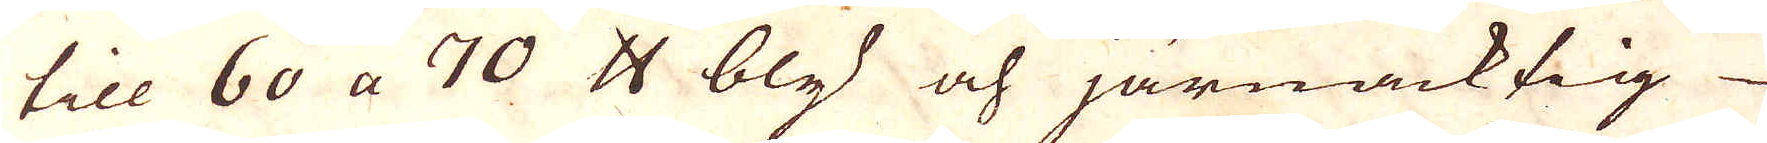till 60 a 70 skålpund bly och järnacktig
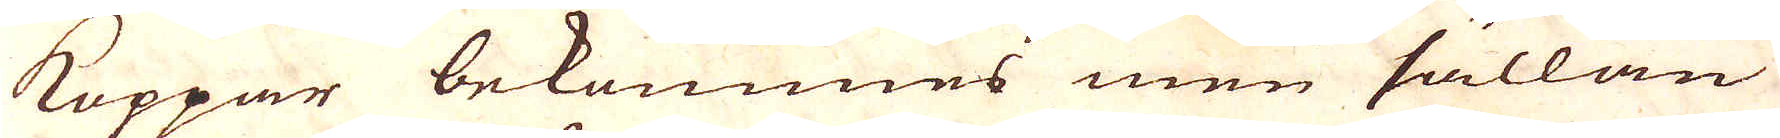Koppar bekommes men sällan
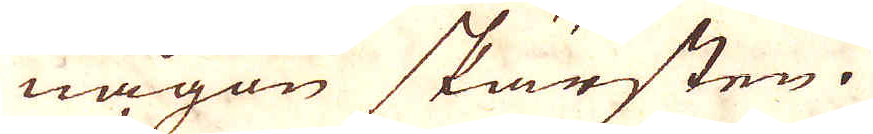någon skärsten.
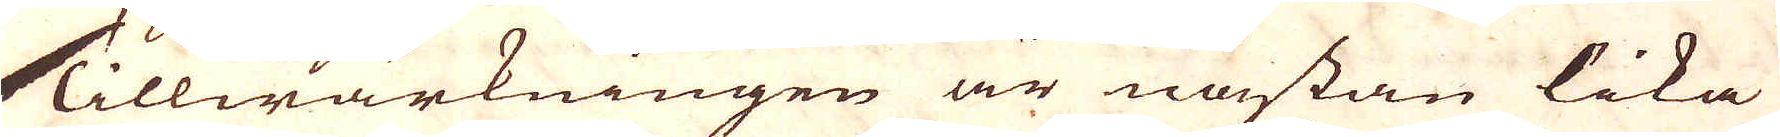Tillwärkningen är nästan lika
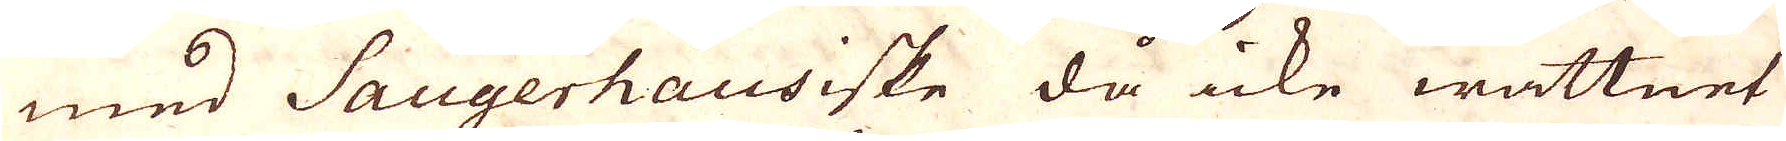med Saugerhausiske då icke wattnet
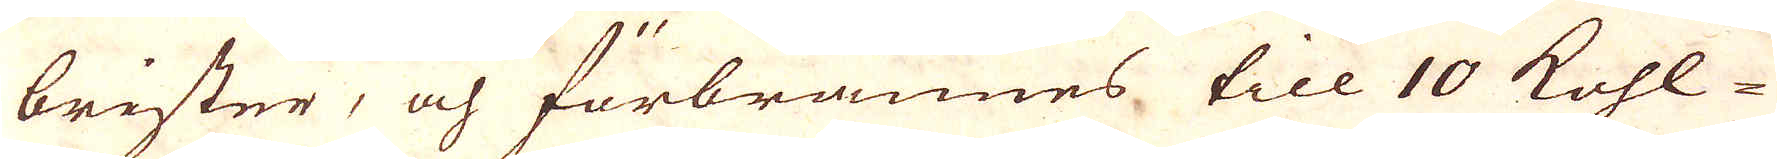brister, och förbrännes till 10 kohl-
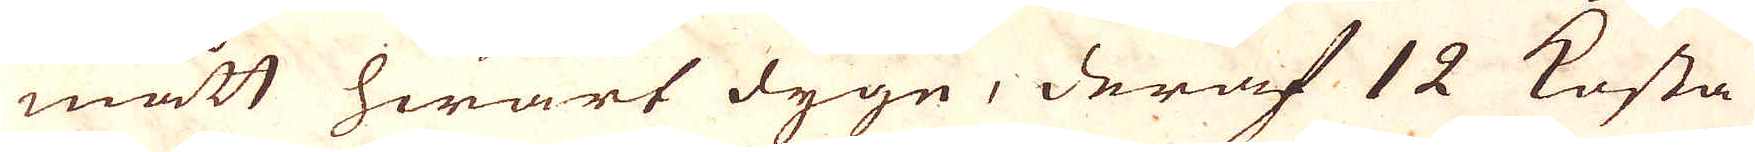mått hwart dygn, deraf 12 kosta
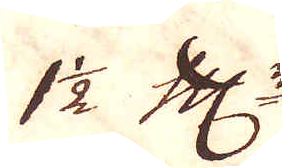1/2 Cologne Marker.
